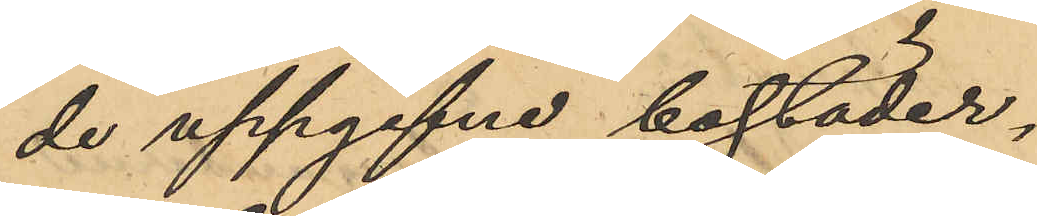de uppgifne bostäder¬
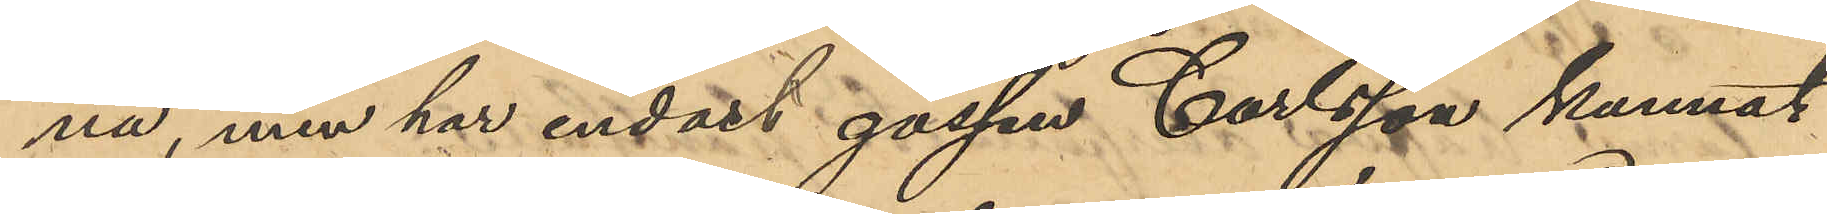na, men har endast gossen Carlsson kunnat
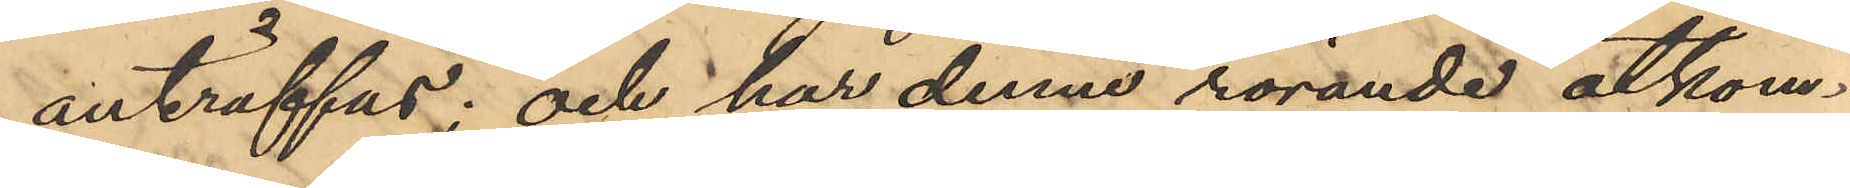anträffas; och har denne rörande åtkom¬
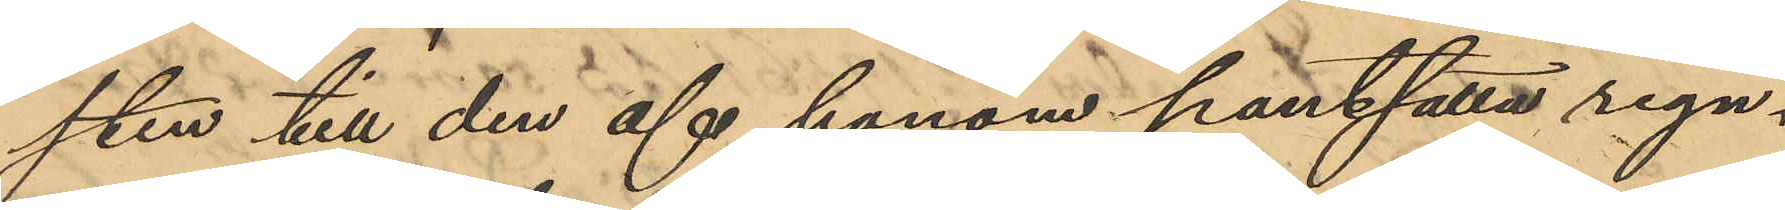sten till den af honom pantsatta regn¬
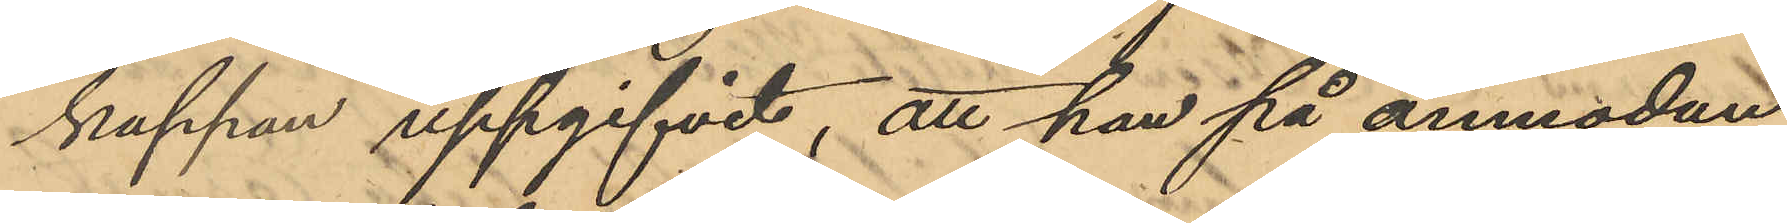kappan uppgifvit, att han på anmodan
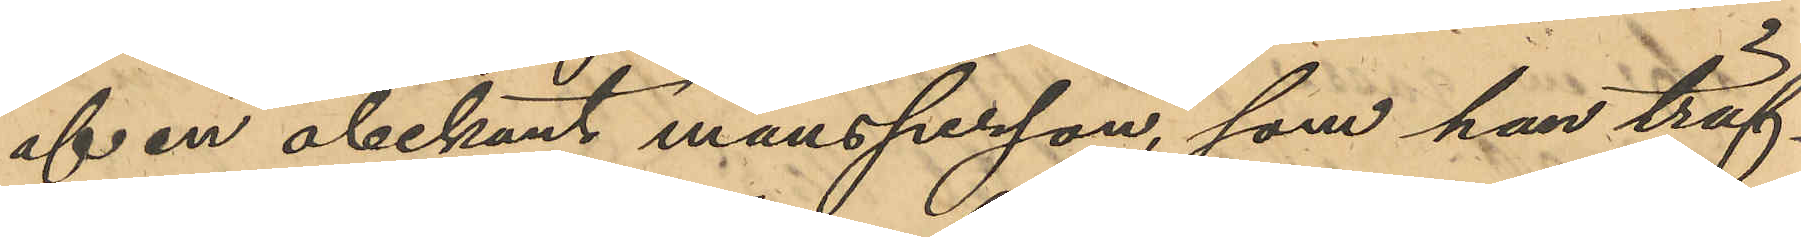af en obekant mansperson, som han träf¬
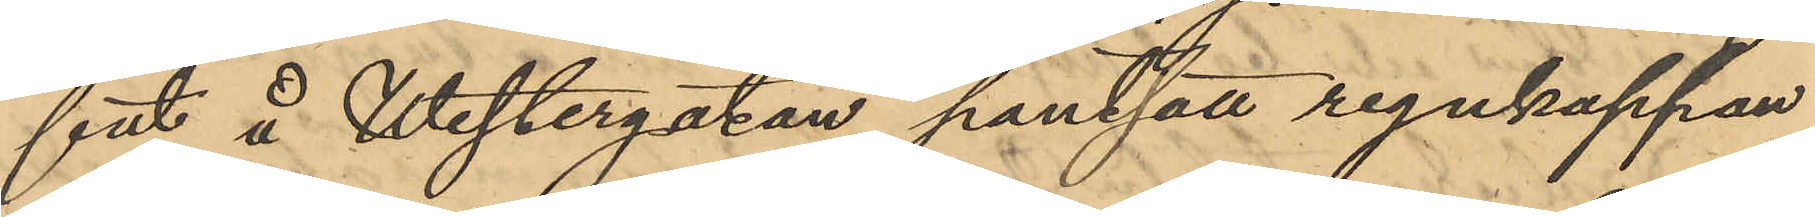fat å Westergatan pantsatt regnkappan
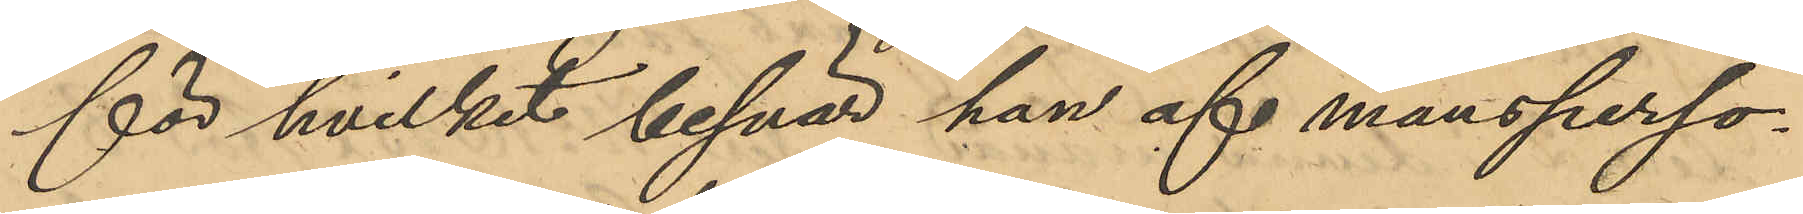för hvilket besvär han af mansperso¬
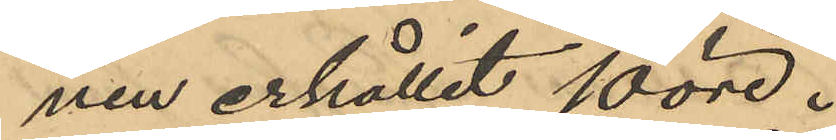nen erhållit 10 öre.
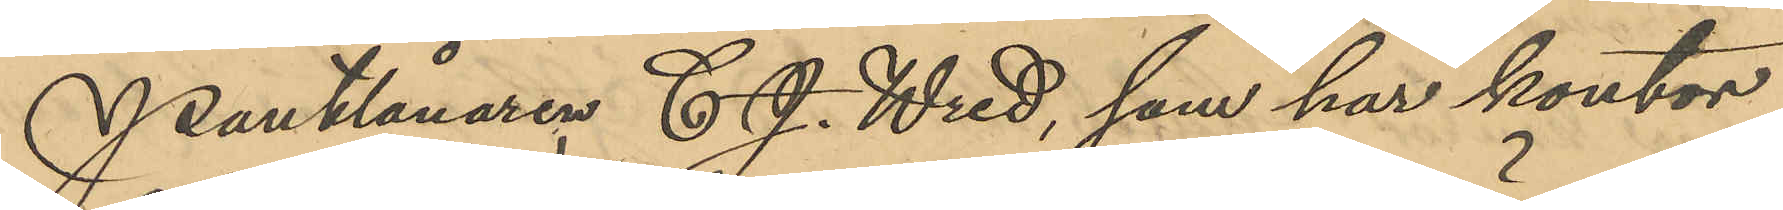Pantlånaren C. J. Wred, som har kontor
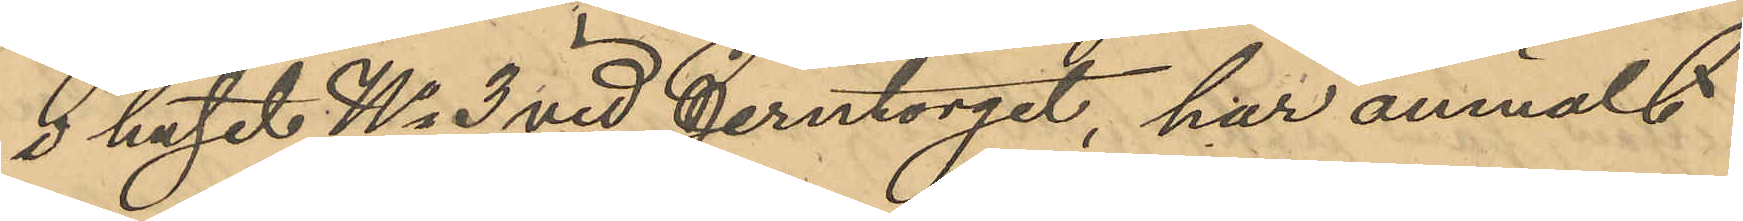i huset No 3 vid Jerntorget, har anmält
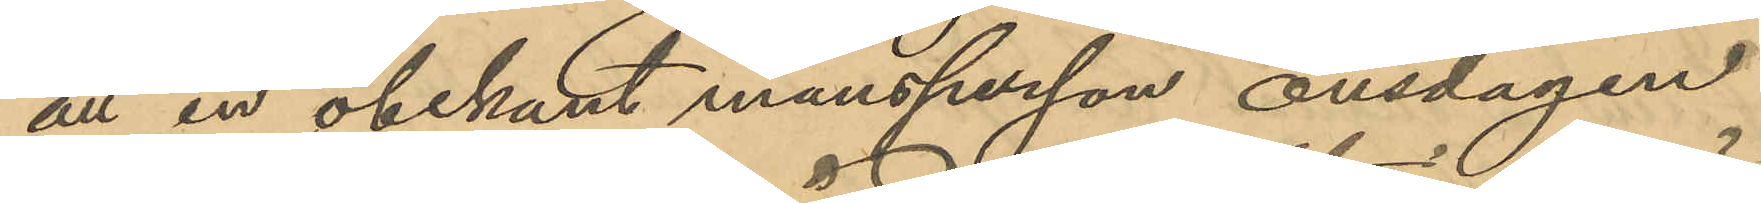att en obekant mansperson onsdagen
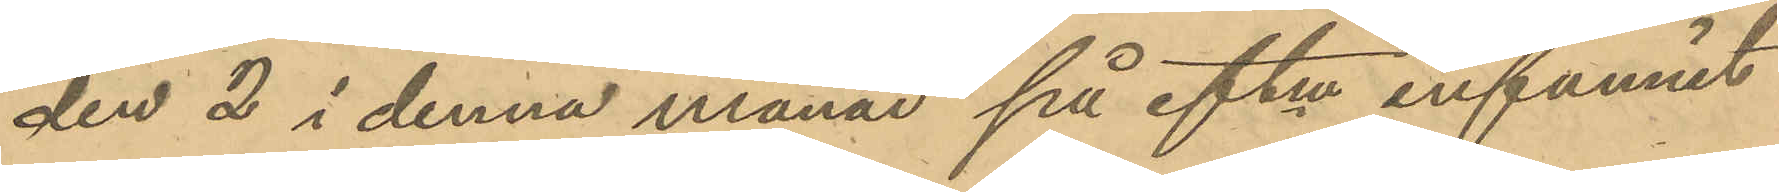den 2 i denna månad på eftm infunnit
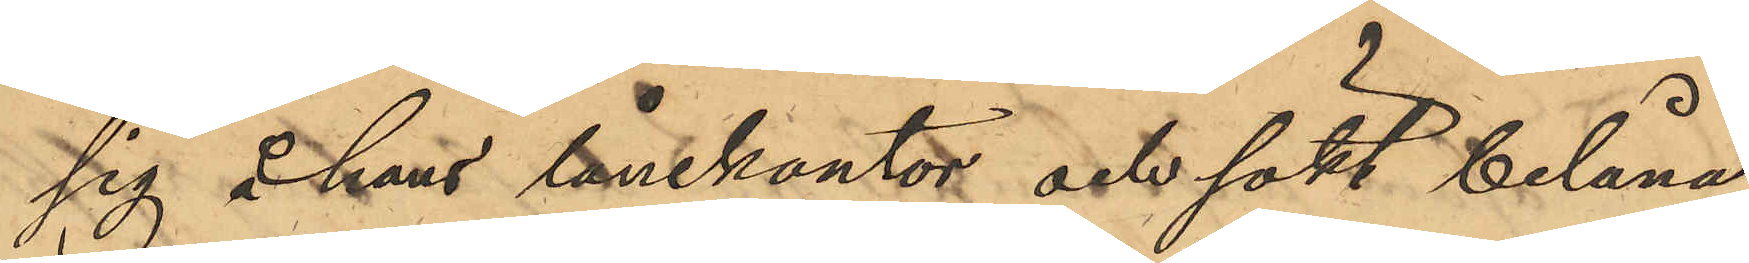sig å hans lånekontor och sökt belåna
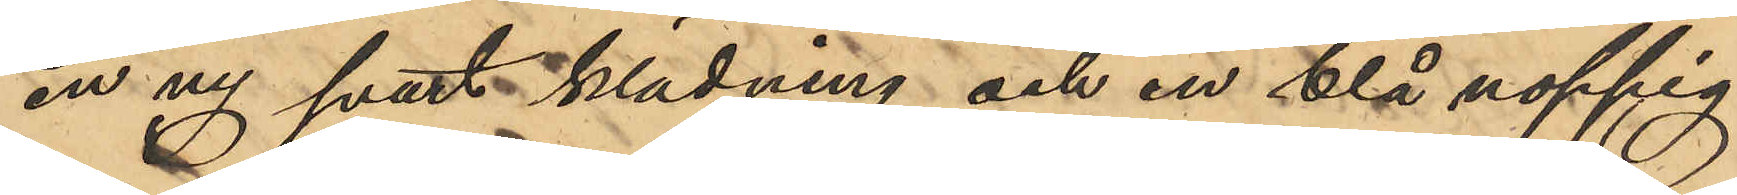en ny svart klädning och en blå noppig
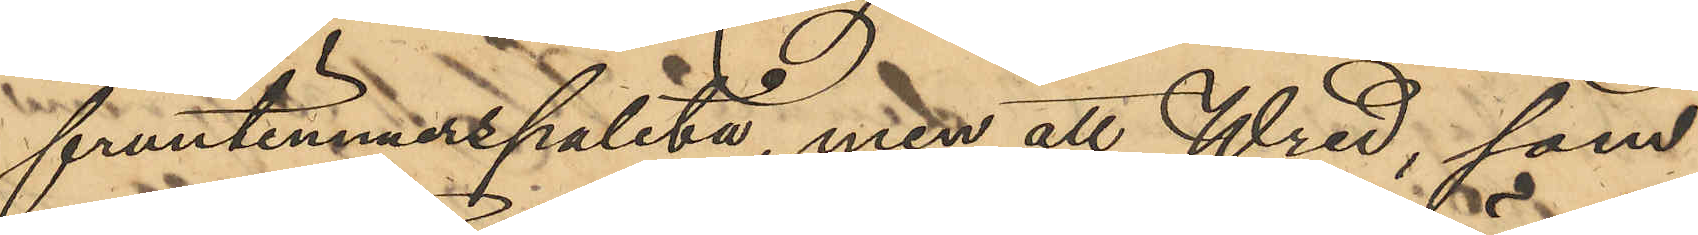fruntimmerspaletå, men att Wred, som
